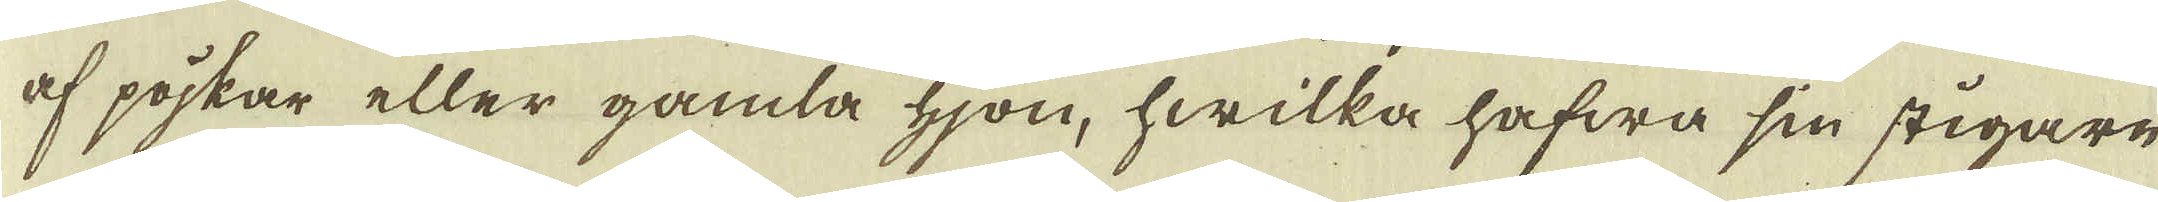af pojkar eller gamla hjon, hwilka hafwa sin stigare
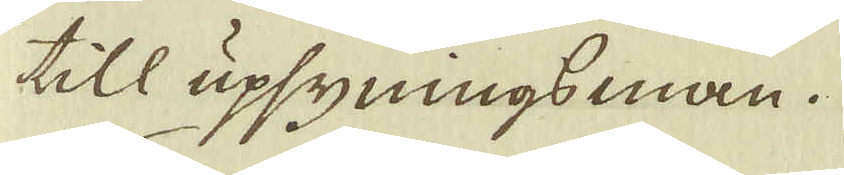till upsyningsman.
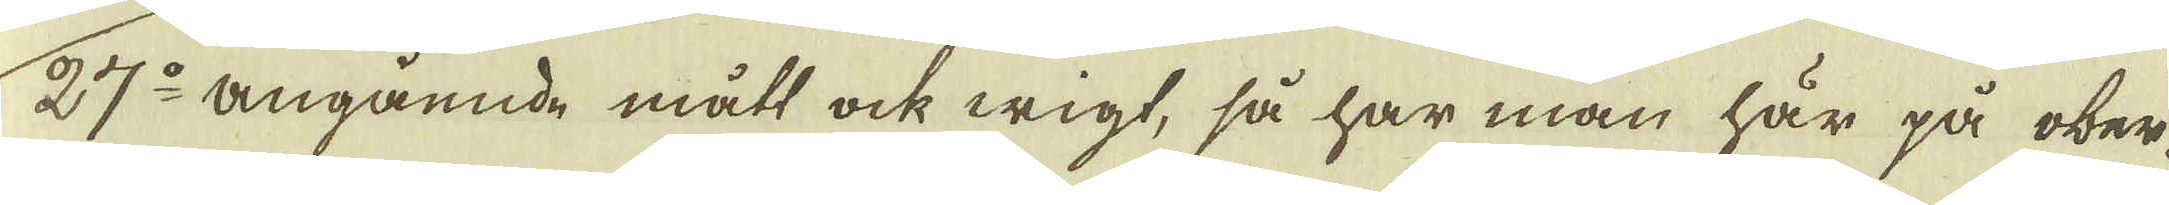27:o angående mått ock wigt, så har man här på ober-
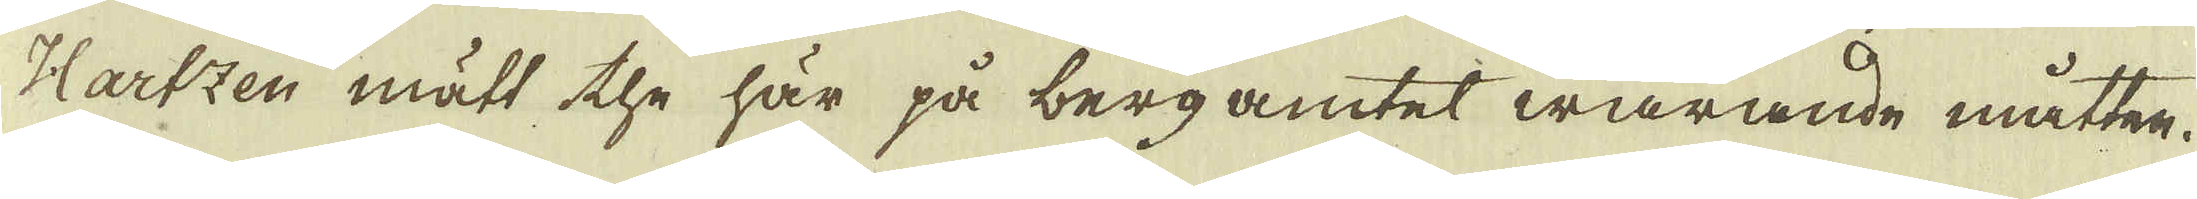Hartzen mätt the här på berg amtet warande måtten.
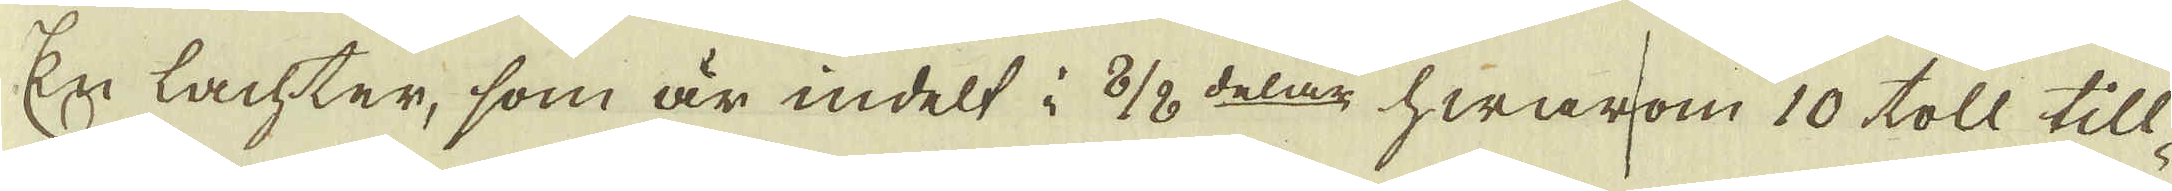En lachter, som är indelt i 8/8 delar hwarom 10 toll till-
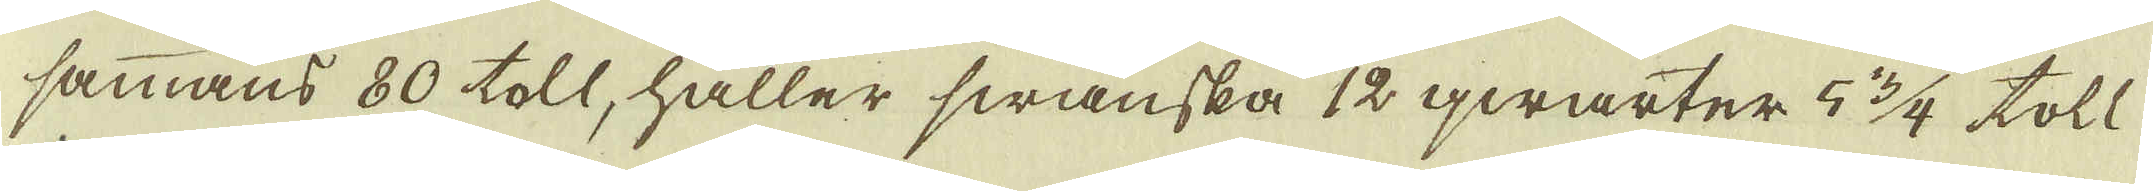sammans 80 toll, håller swanska 12 qwarter 5 3/4 toll.
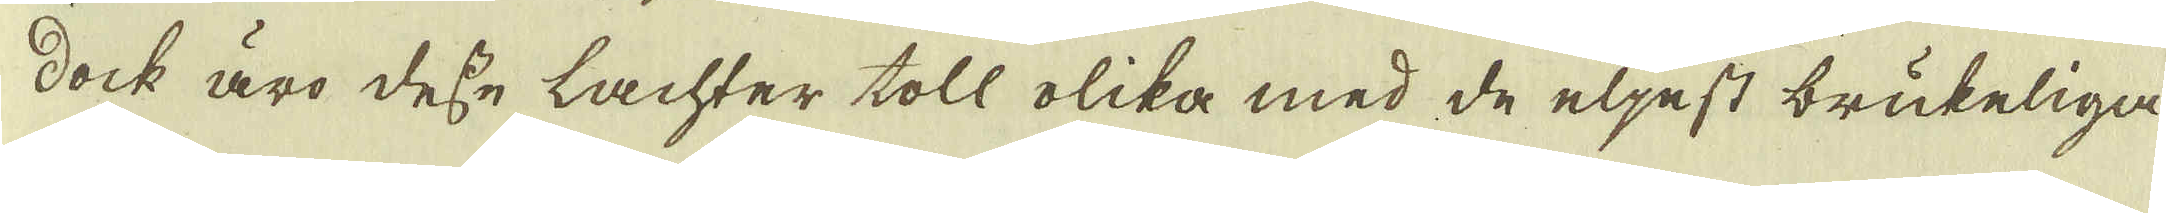Dock äro desse lachter toll olika med de eljest brukeliga
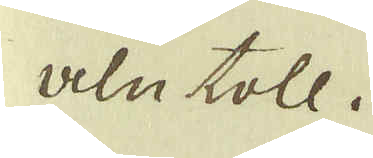aln toll.
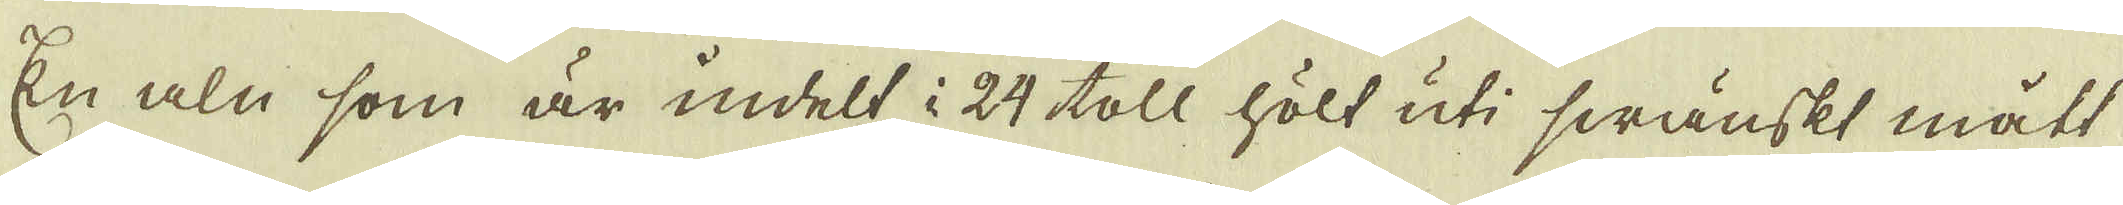En aln som är indelt i 24 toll hölt uti swänskt mått
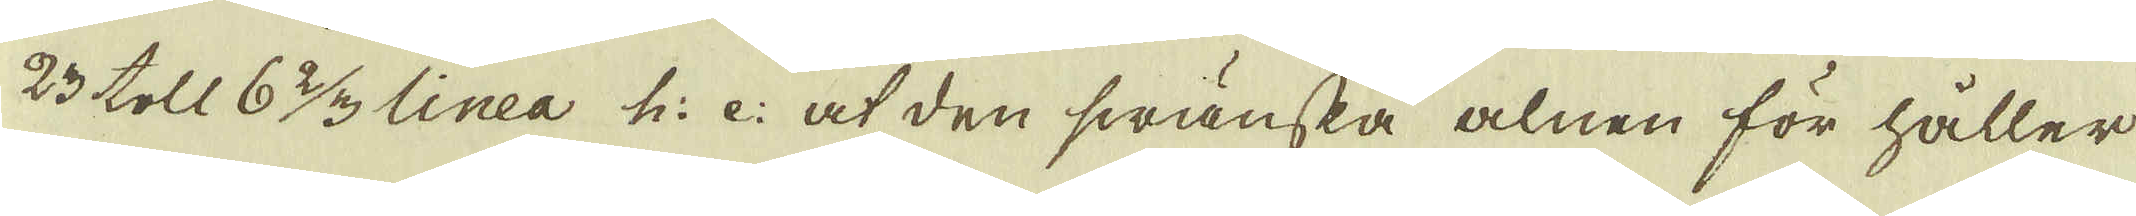23 toll 6 2/3 linea h: e: at den swänska alnen för håller
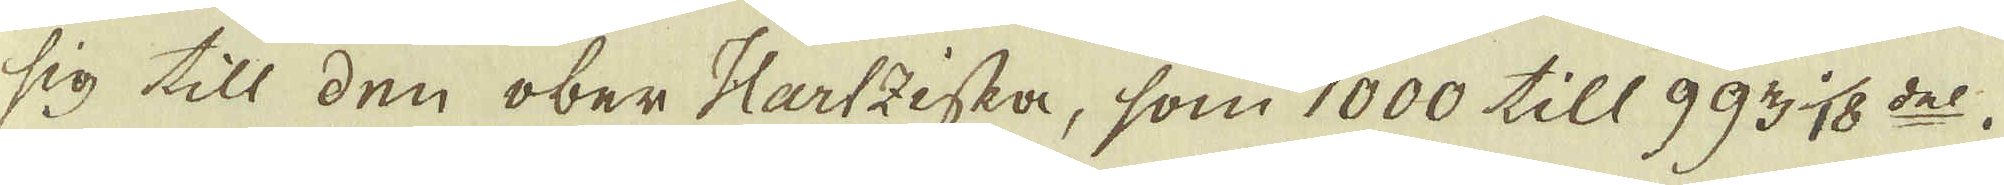sig till den ober-Hartzeska, som 1000 till 993 1/18 del.
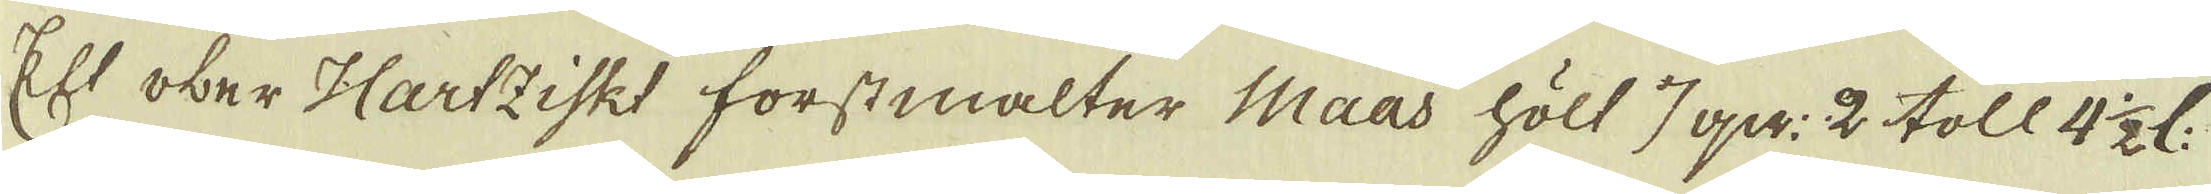Et ober-Hartziskt forstmalter Maas hölt 7 qv: 2 toll 4 1/2 l:
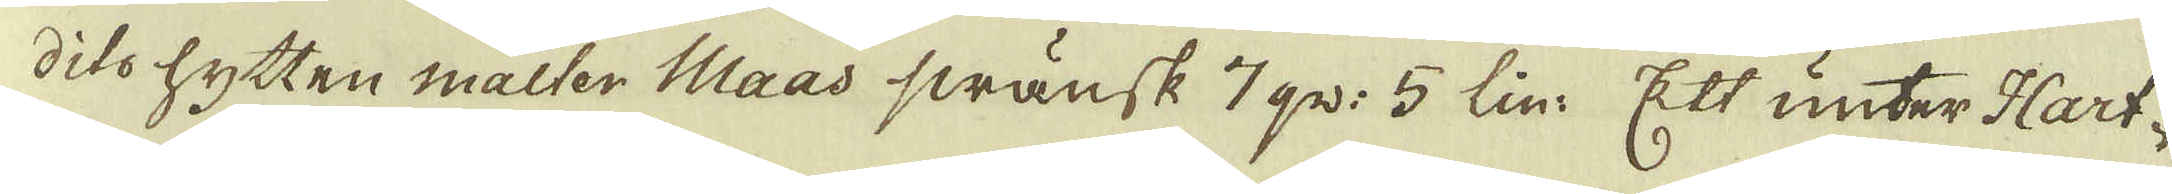dito hytten malter Maad swänsk 7 qv: 5 lin. Ett unter Hart-
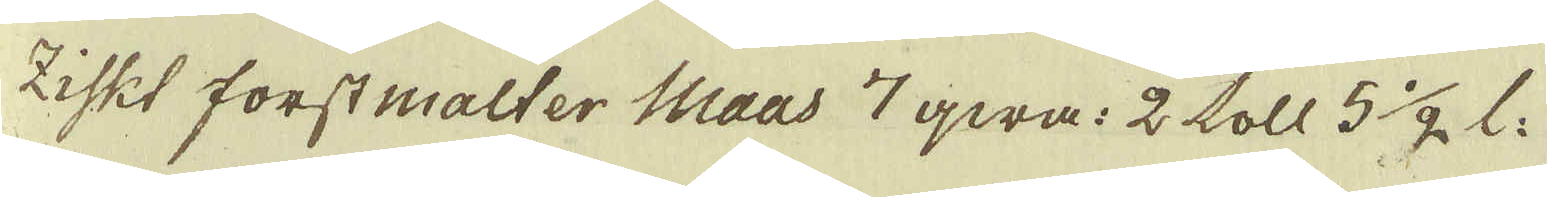ziskt forst malter Maas 7 qwr: 2 toll 5 1/2 l.
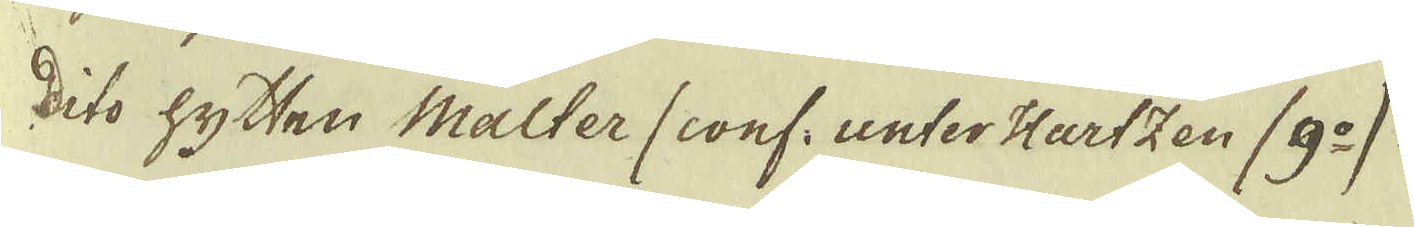Dito hytten Malter (conf: unter Hartzen (9:o)
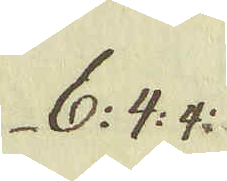6: 4: 4:
